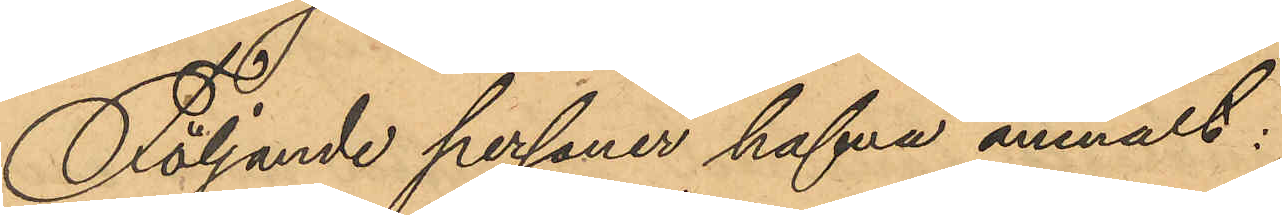Följande personer hafva anmält:
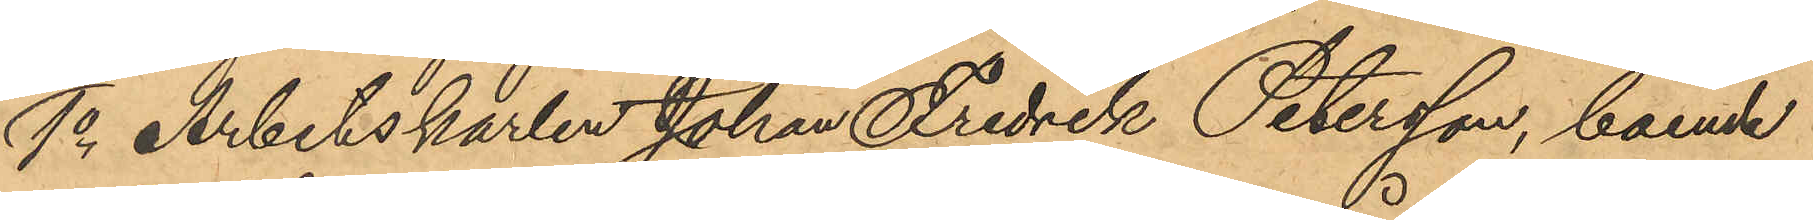1o Arbetskarlen Johan Fredrik Petersson, boende
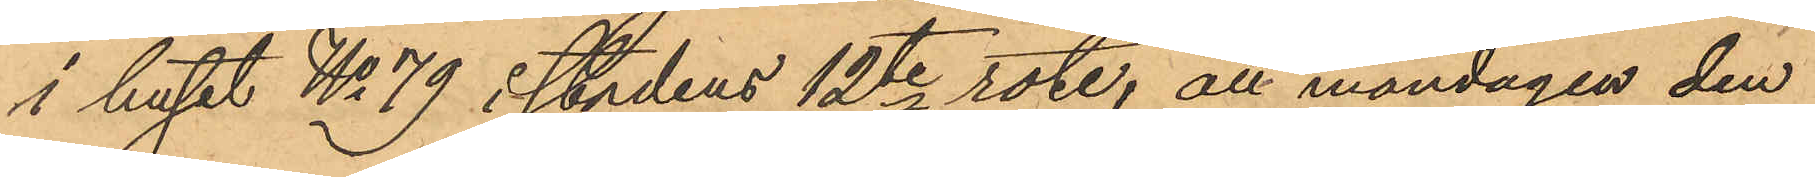i huset No 79 i stadens 12te rote; att måndagen den
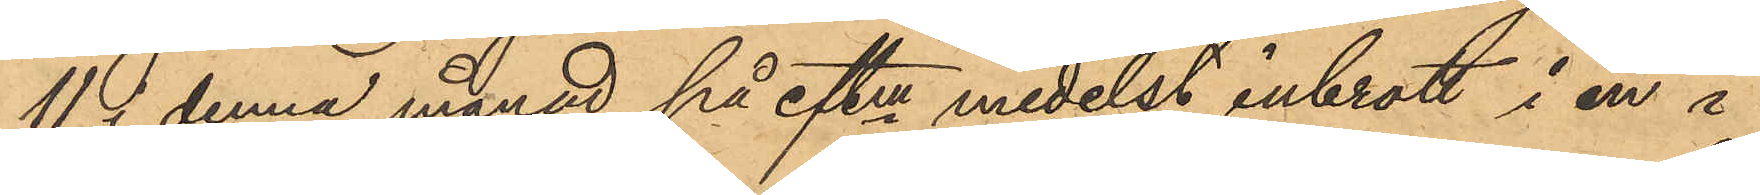11 i denna månad på eftm medelst inbrott i en i
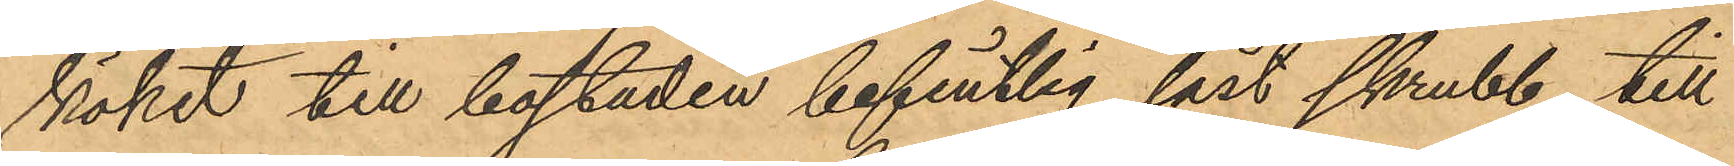köket till bostaden befintlig låst skrubb, till
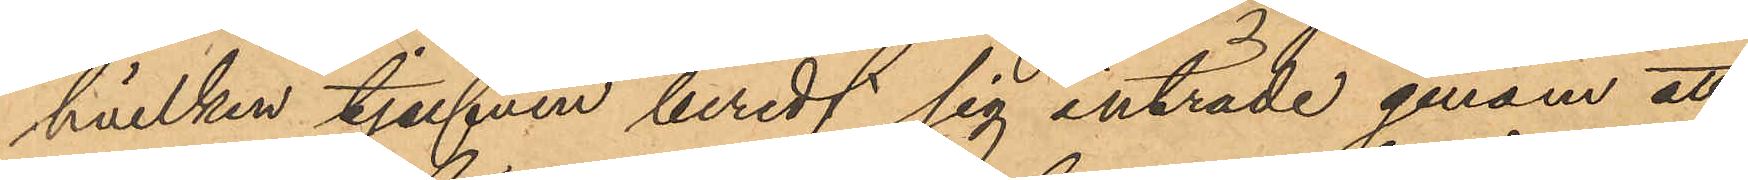hvilken tjufven beredt sig inträde genom att
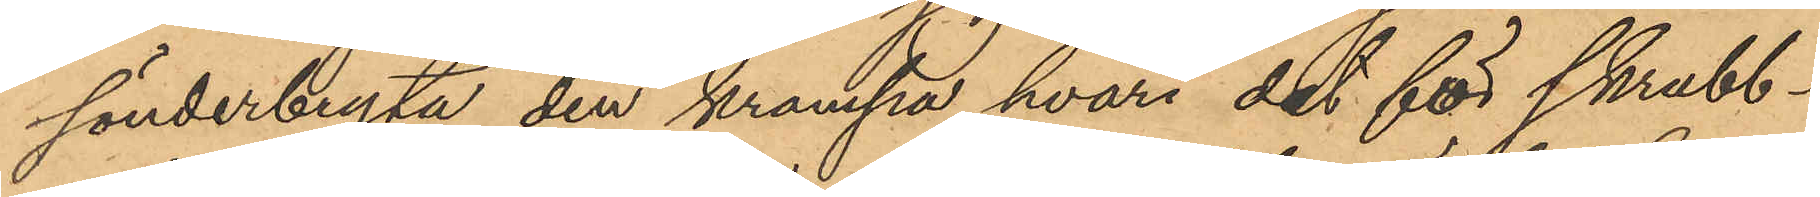sönderbryta den krampa, hvari det för skrubb¬
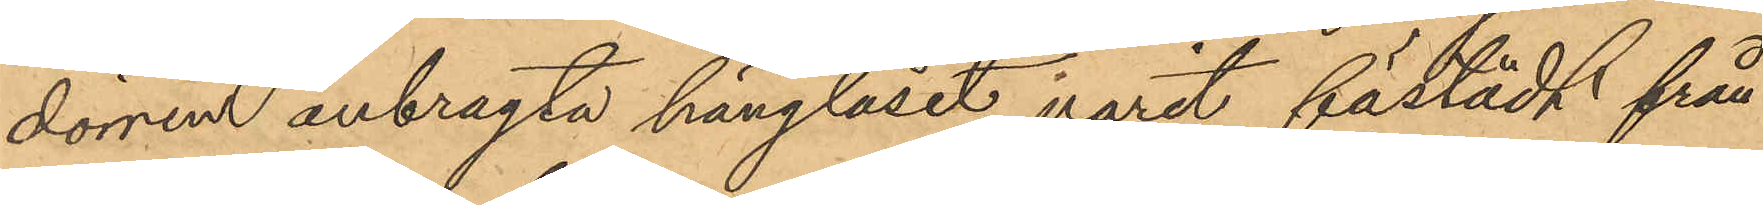dörren anbragta hänglåset varit fästädt från
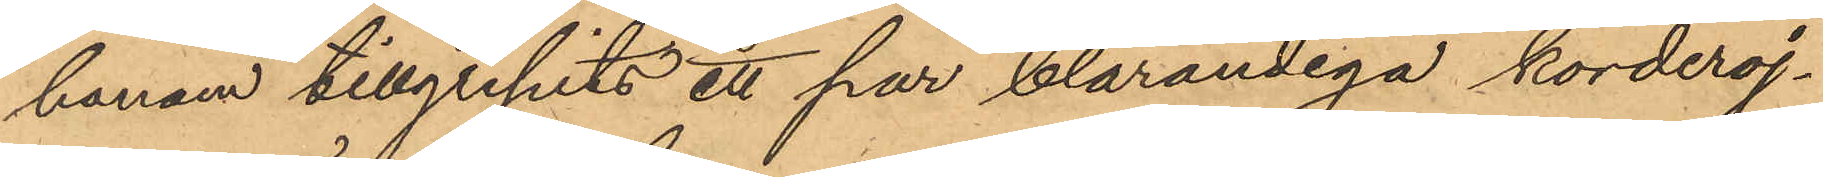honom tillgripits ett par blårandiga korderoj¬
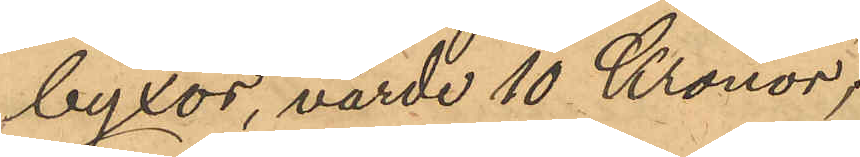byxor, värde 10 Kronor;
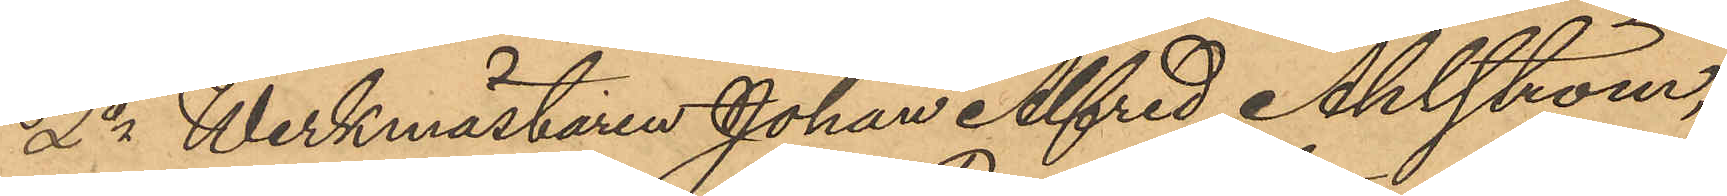2o Werkmästaren Johan Alfred Ahlström,
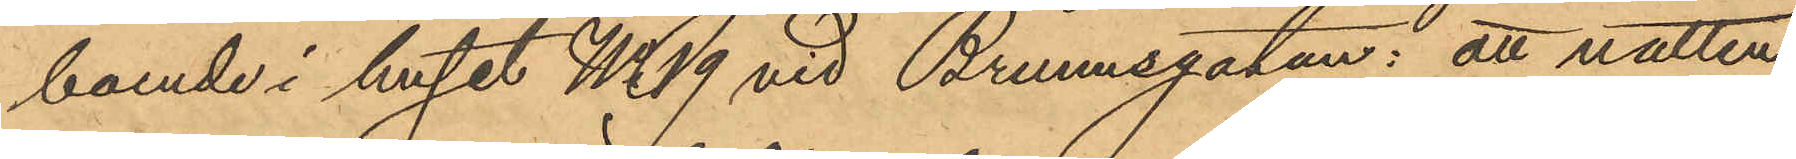boende i huset No 19 vid Brunnsgatan: att natten
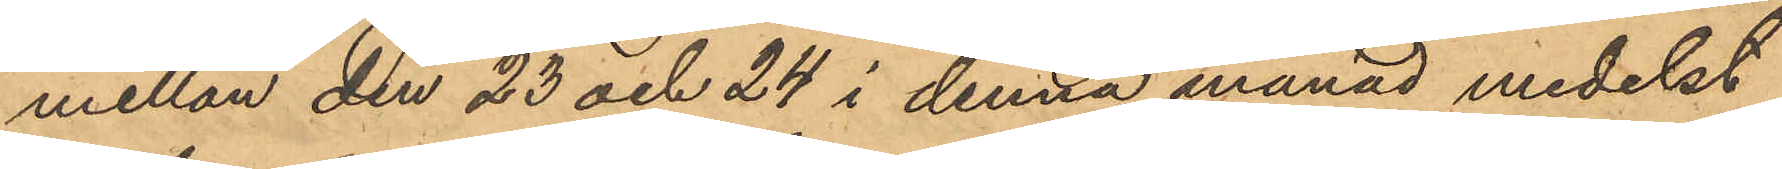mellan den 23 och 24 i denna månad medelst
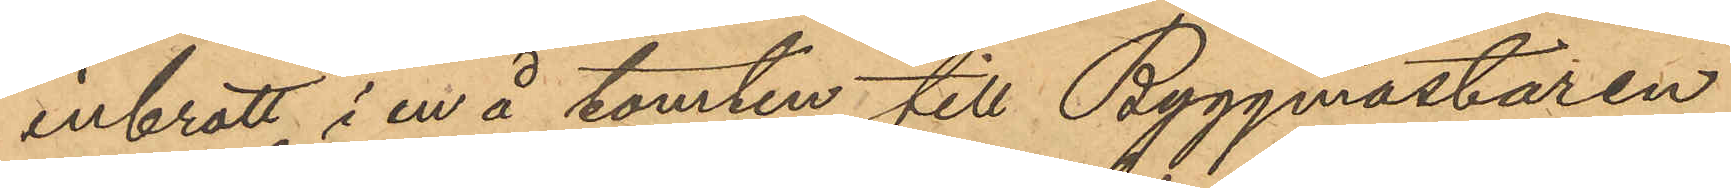inbrott i en å tomten till Byggmästaren
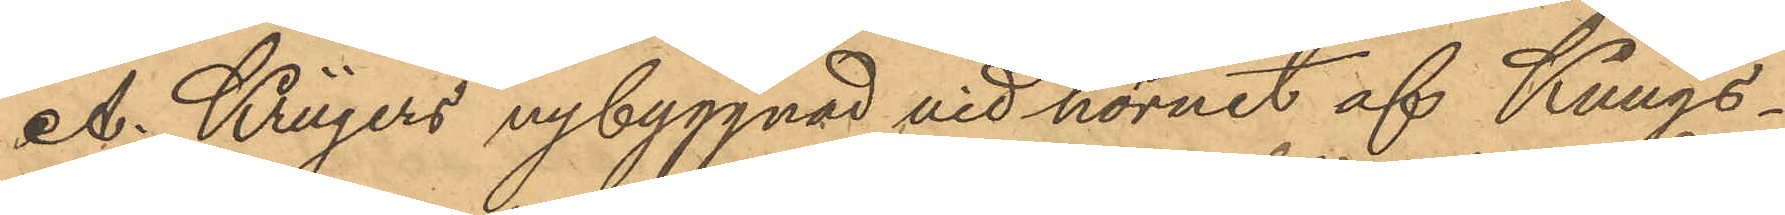A. Krügers nybyggnad vid hörnet af Kungs¬
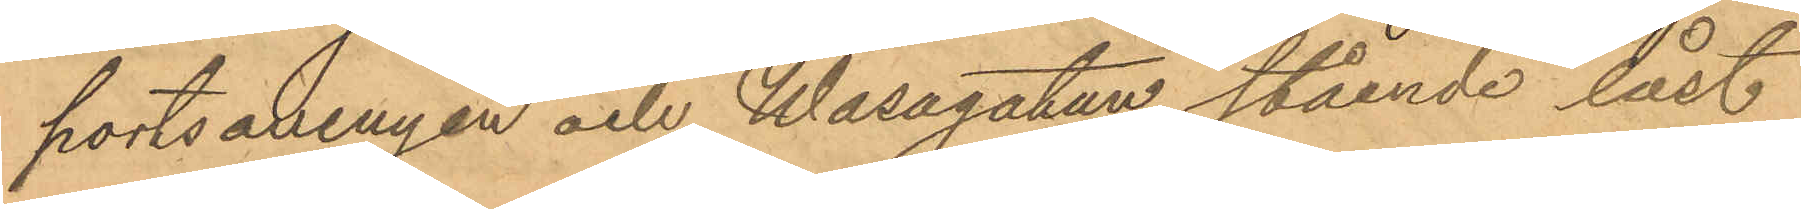portsavenyen och Wasagatan stående låst
